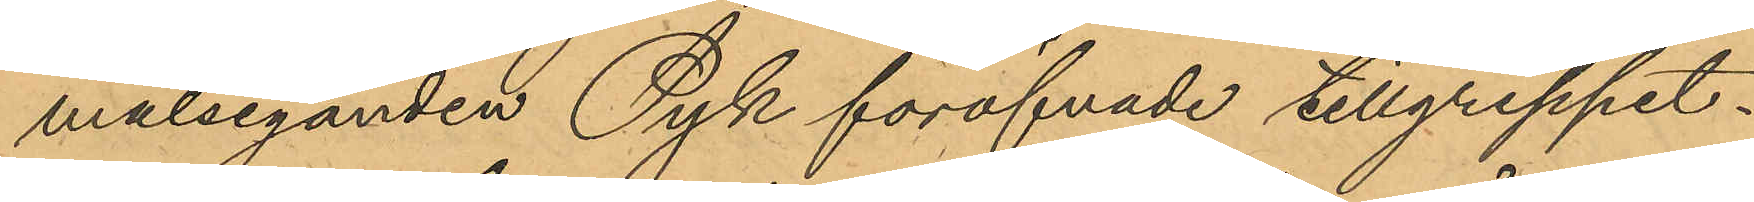målseganden Pyk föröfvade tillgreppet.
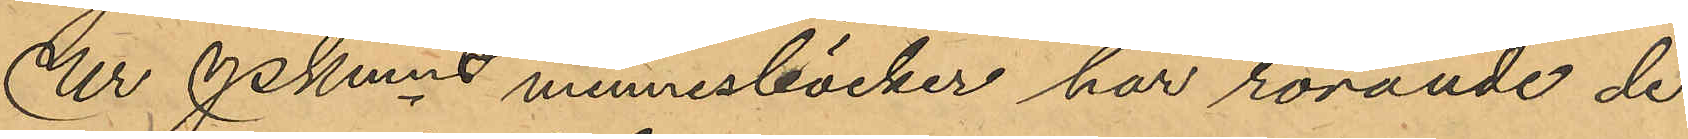Ur Pkmns minnesböcker har rörande de
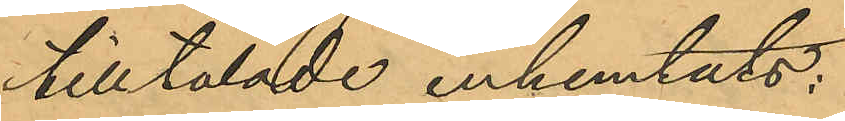tilltalade inhemtats:
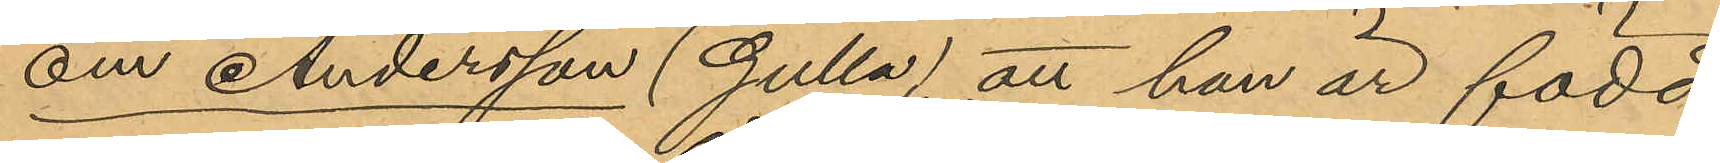om Andersson (Gulla), att han är född
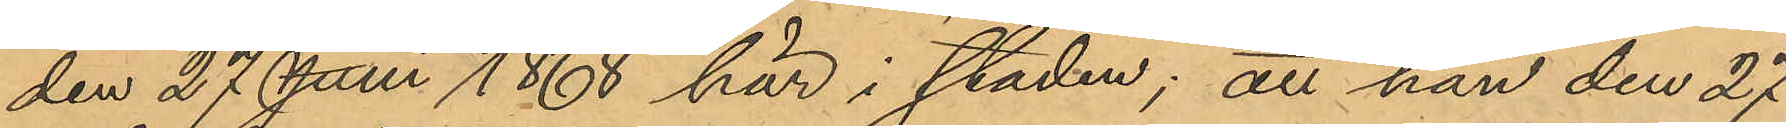den 27 Juni 1868 här i staden; att han den 27
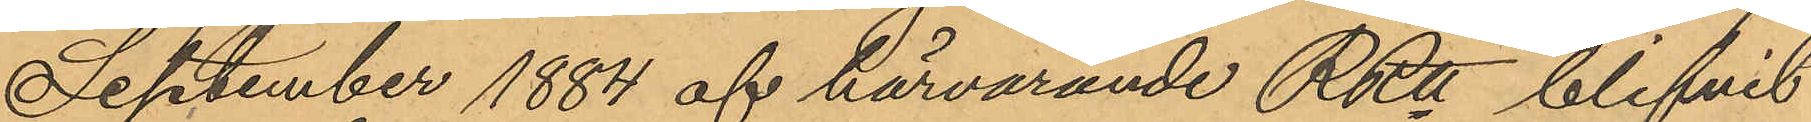September 1884 af härvarande RRtt blifvit
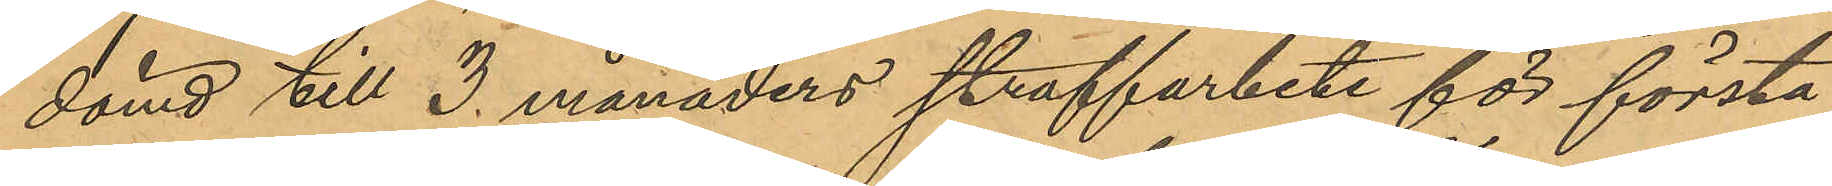dömd till 3 månaders straffarbete för första
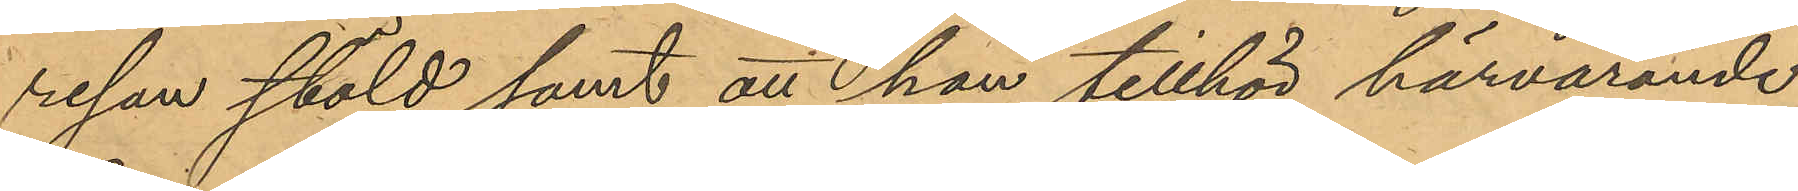resan stöld samt att han tillhör härvarande
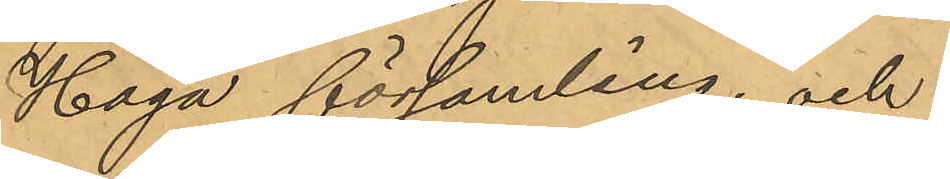Haga församling; och
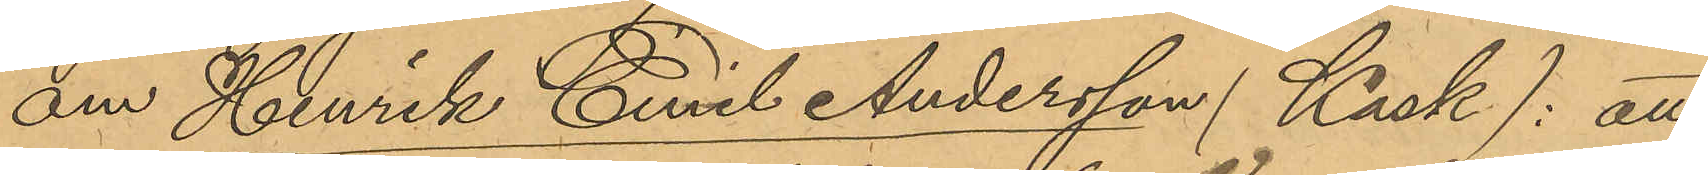om Henrik Emil Andersson (Kask): att
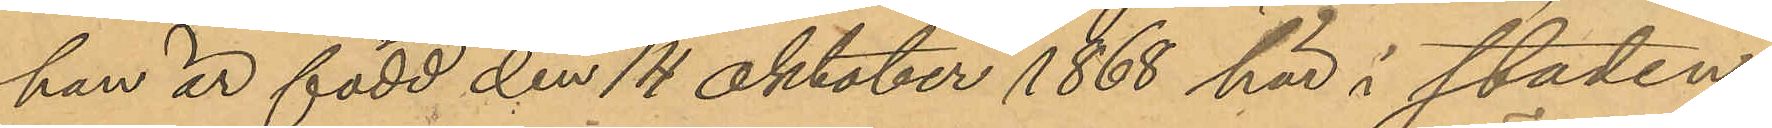han är född den 14 Oktober 1868 här i staden;
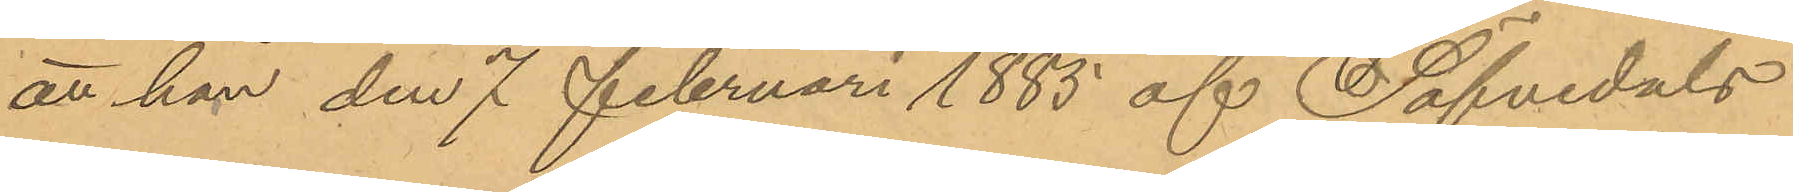att han den 7 Februari 1885 af Säfvedals
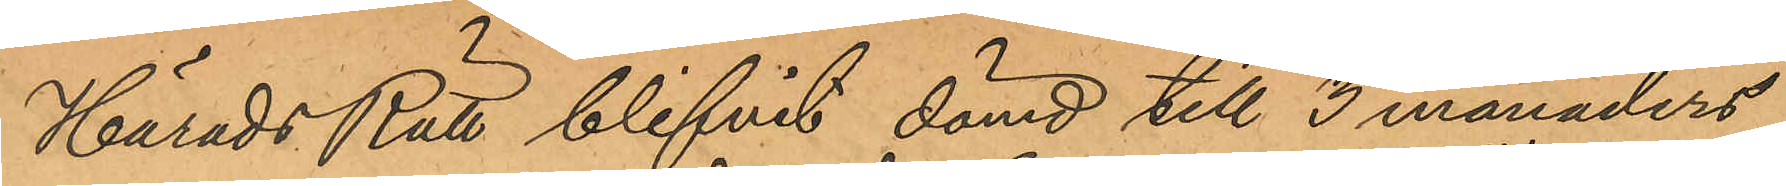Härads Rätt blifvit dömd till 3 månaders
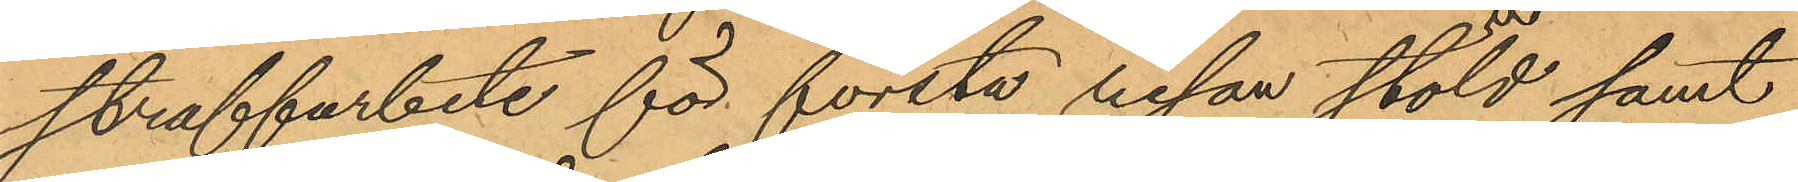straffarbete för första resan stöld samt
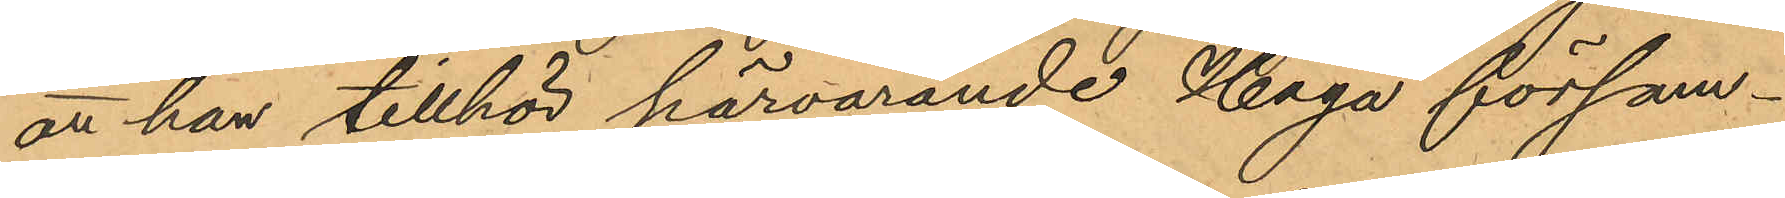att han tillhör härvarande Haga försam¬
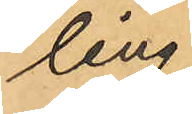ling.
